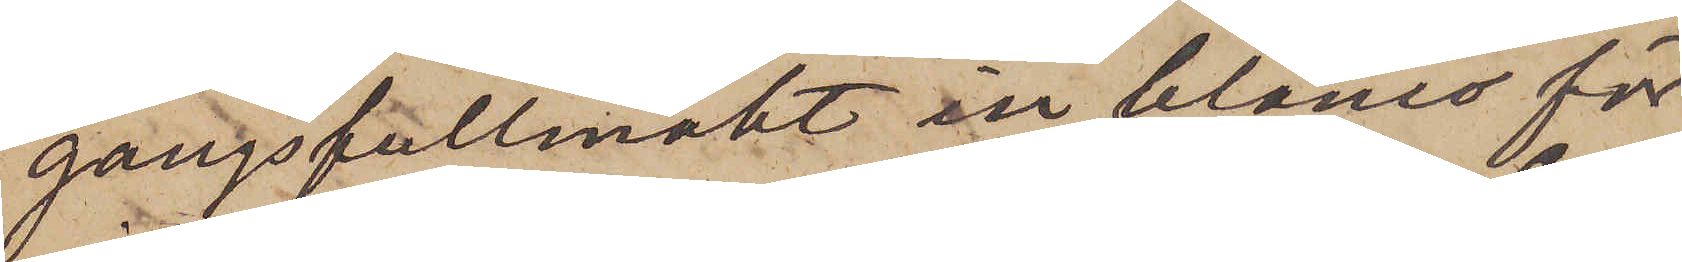gångsfullmakt in blanco för
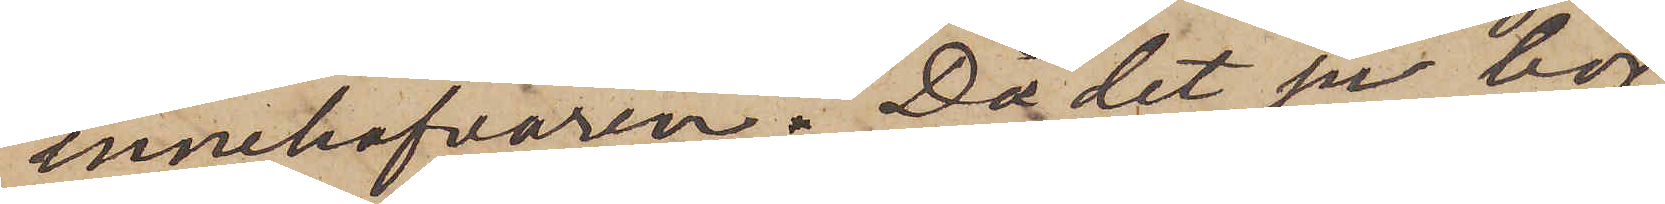innehafvaren. Då det ju bör
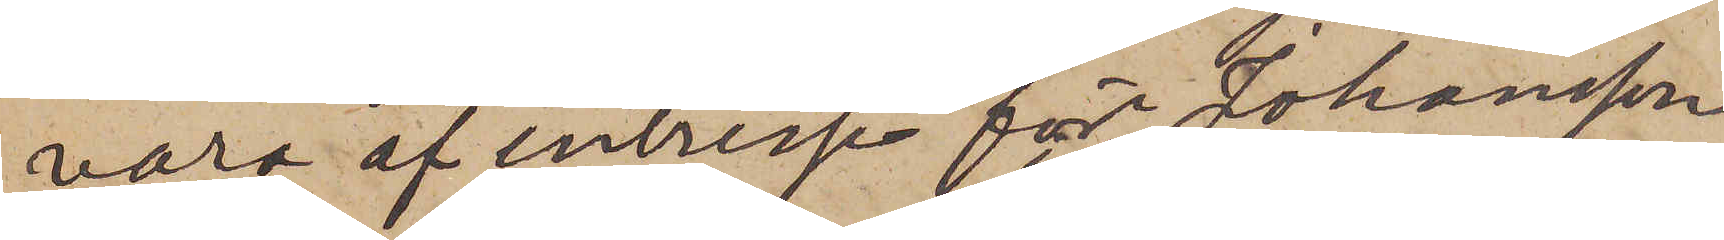vara af intresse för Johansson
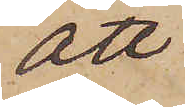att
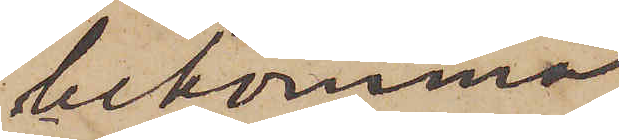bekomma
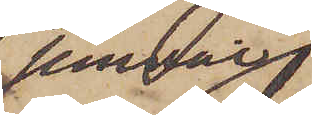jemväl
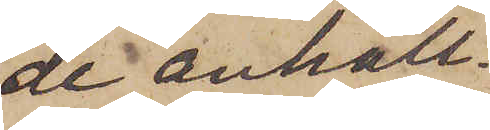de anhåll¬
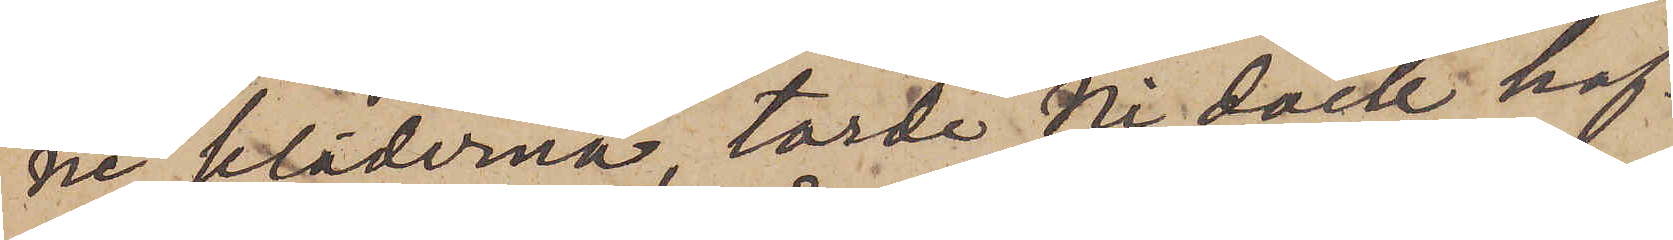ne kläderna, torde Ni dock haf¬
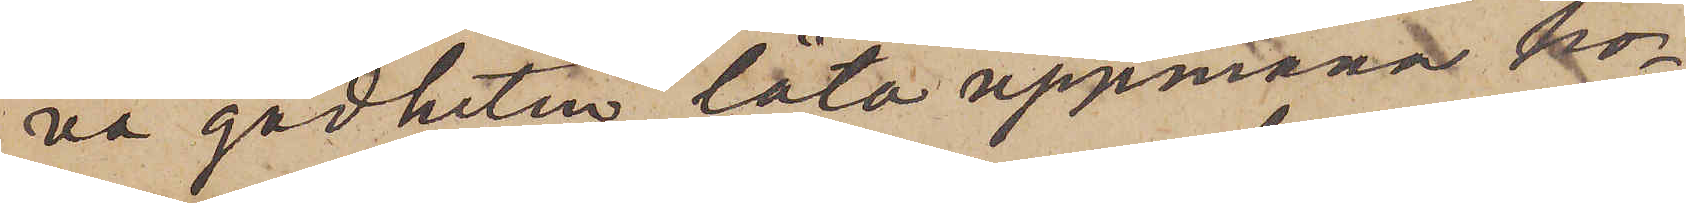va godheten låta uppmana ho¬
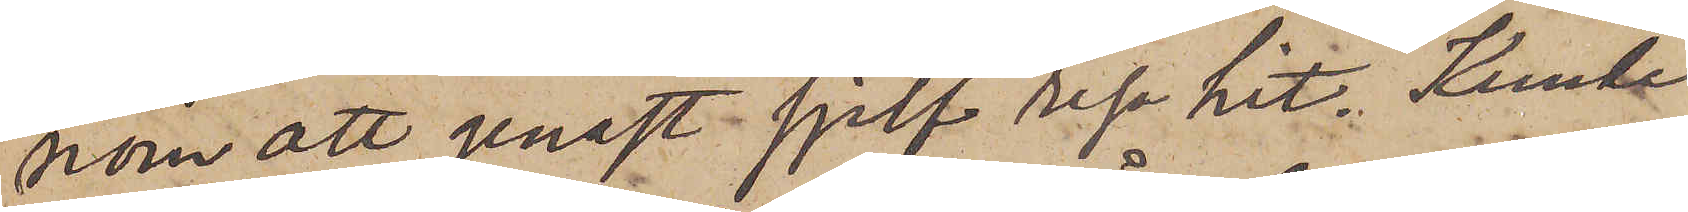nom att genast sjelf resa hit. Kunde
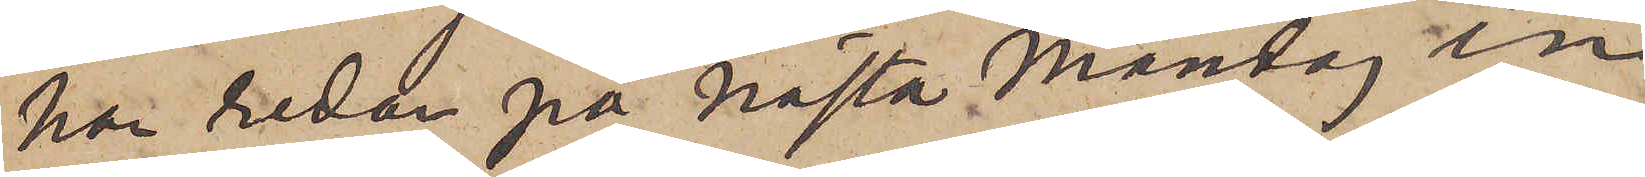han redan på nästa Måndag in¬
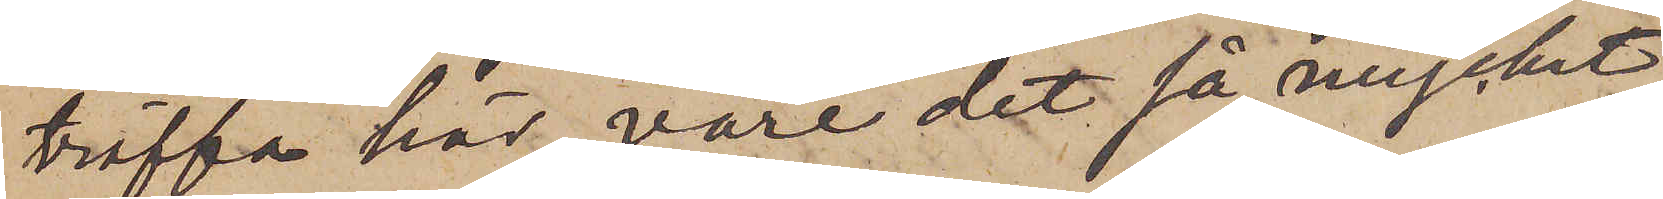träffa här, vore det så mycket
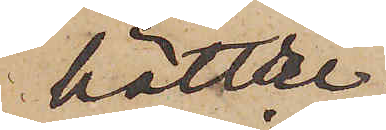bättre.
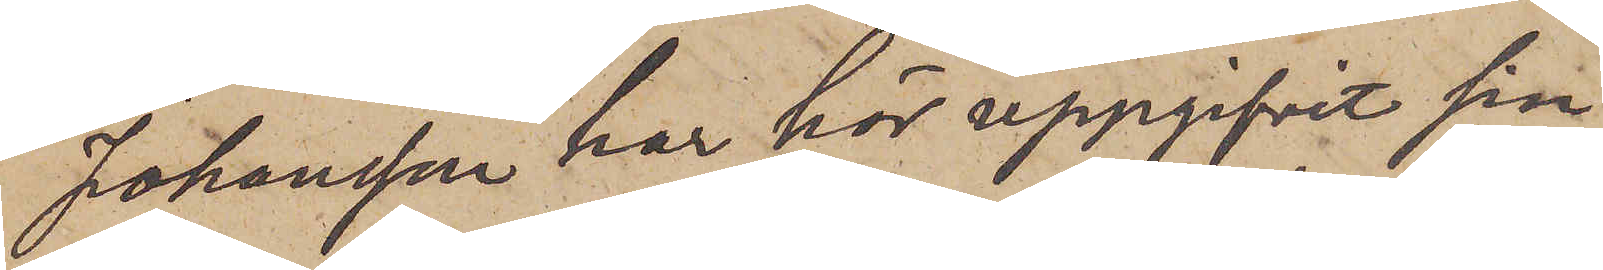Johansson har här uppgifvit sin
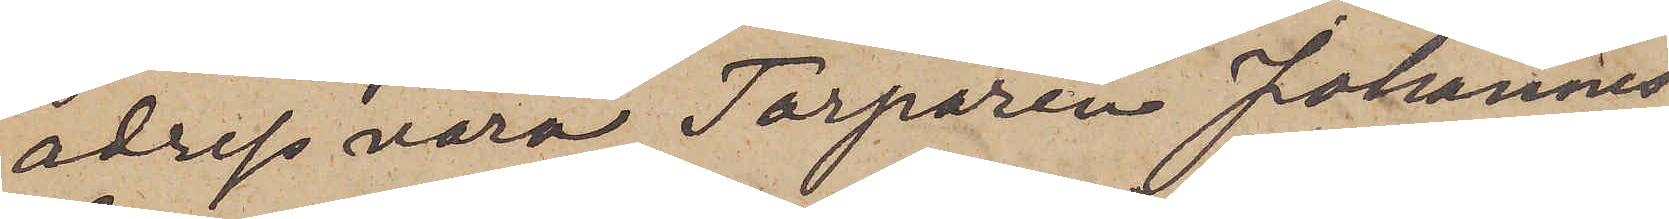adress vara Torparen Johannes
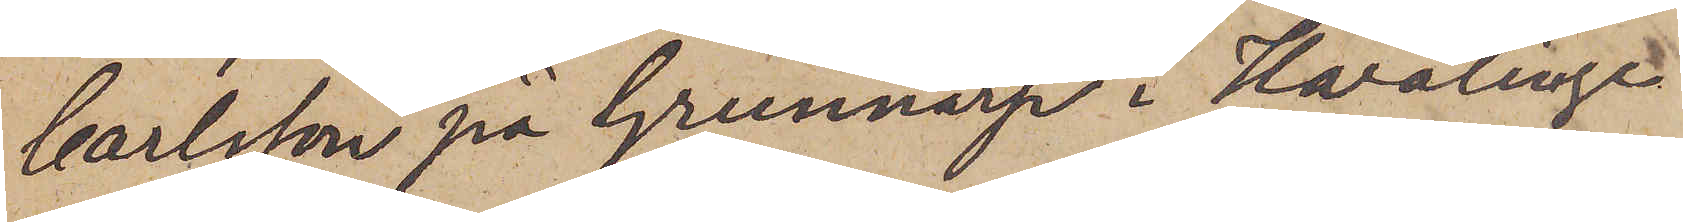Carlsson på Grunnarp i Hvalinge
